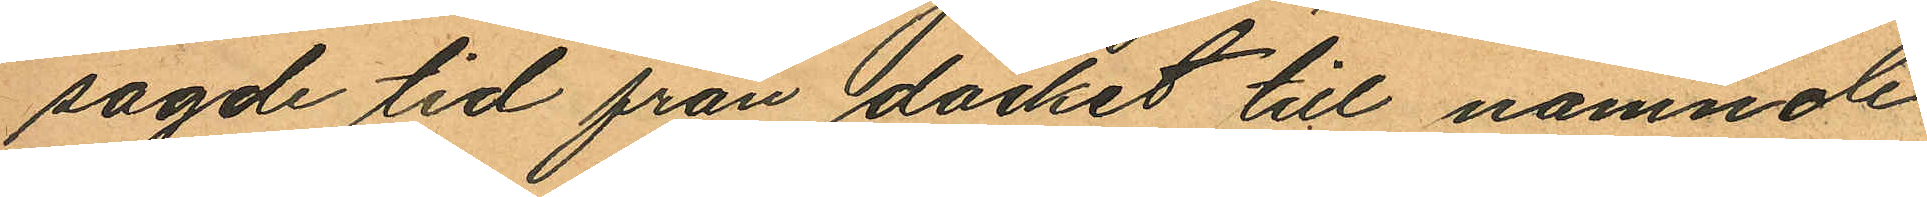sagde tid från däcket till nämnde
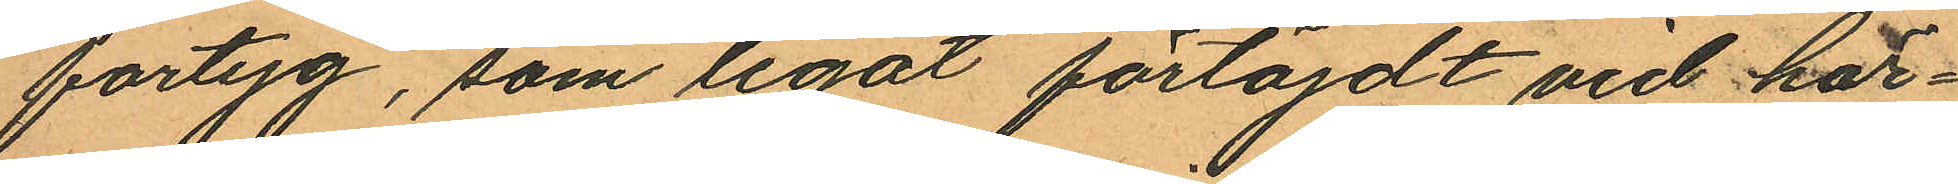fartyg, som legat förtöjdt vid här¬
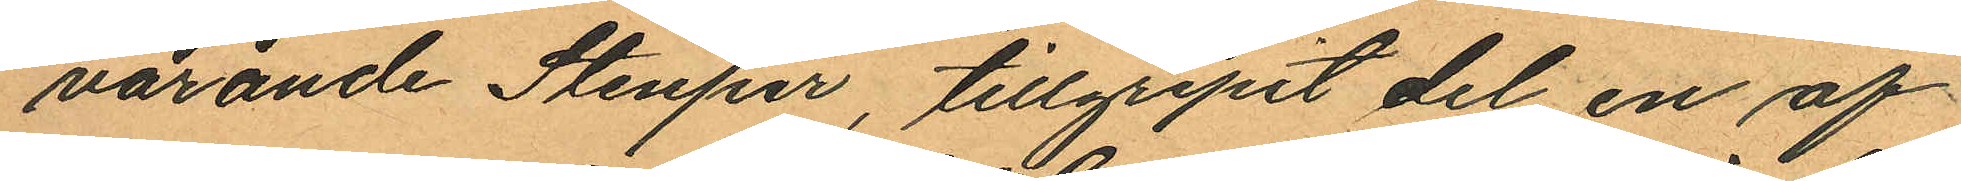varande Stenpir, tillgripit del en af
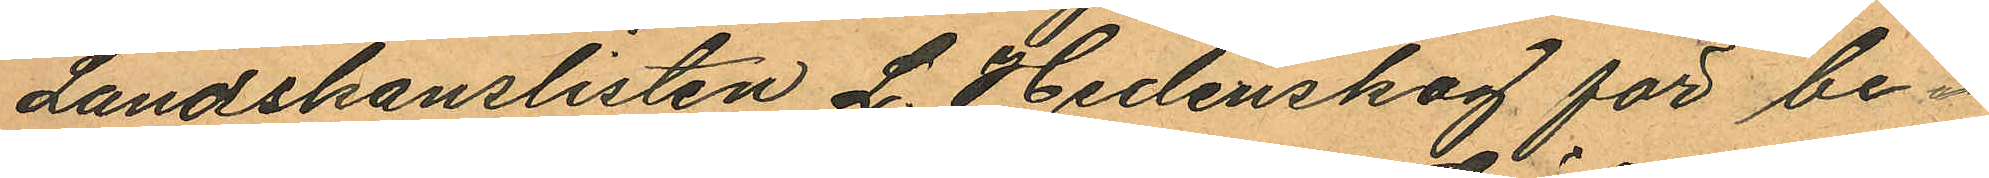Landskanslisten L. Hedenskog för be¬
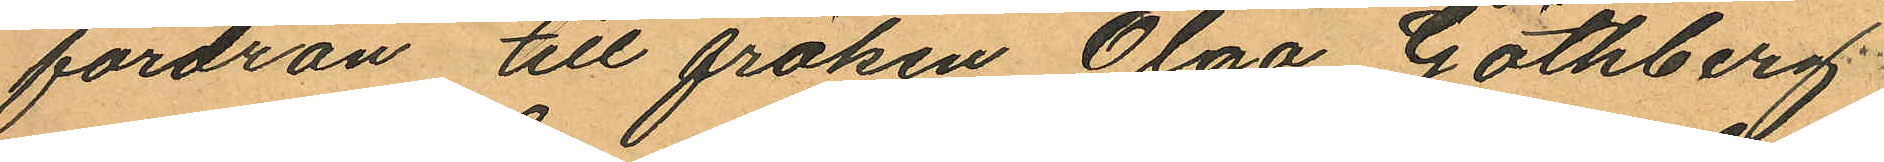fordran till fröken Olga Göthberg
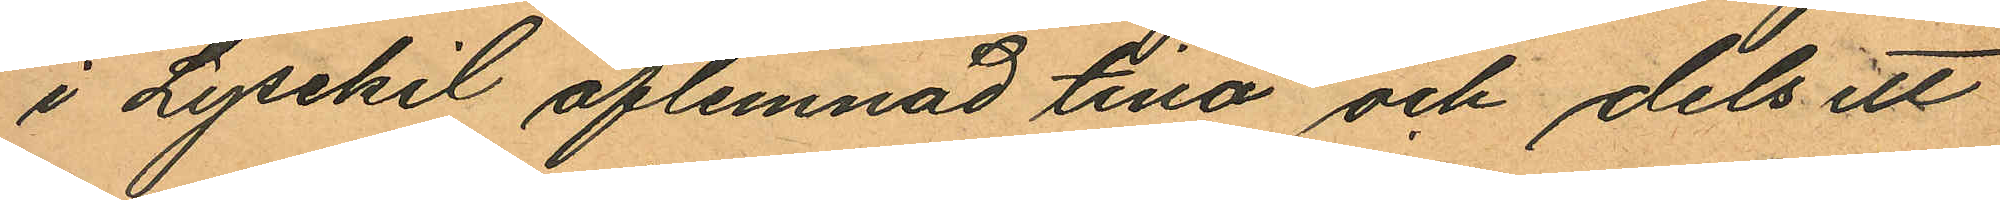i Lysekil aflemnad tina och dels ett
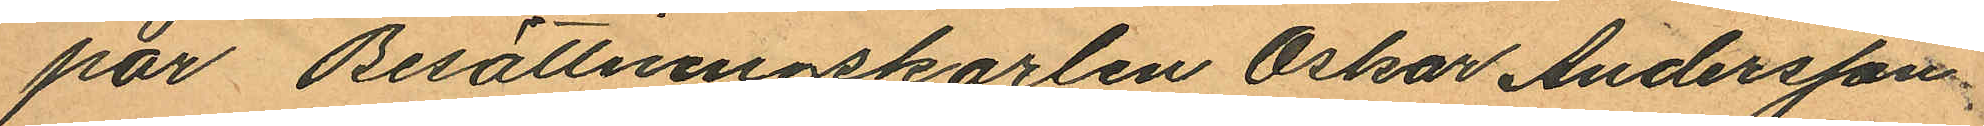par Besättningskarlen Oskar Andersson
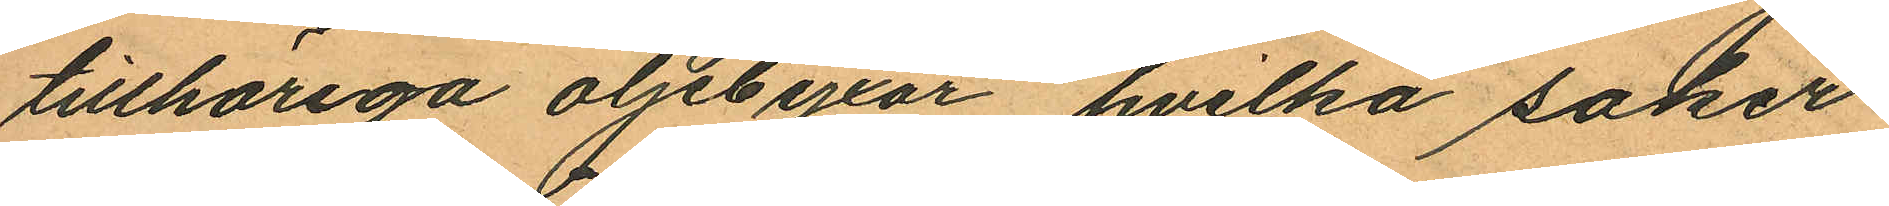tillhöriga oljebyxor, hvilka saker
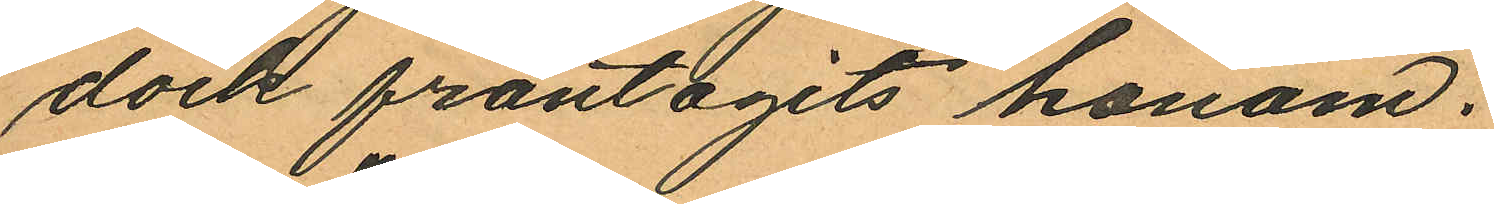dock fråntagits honom.
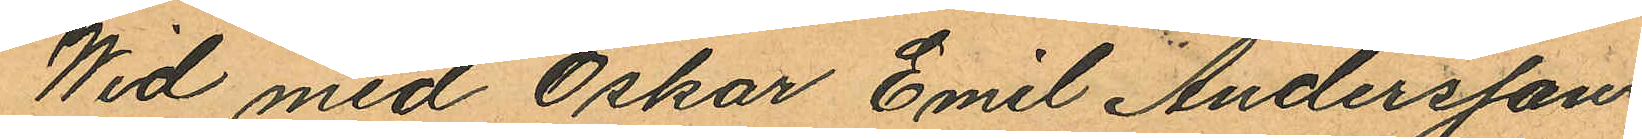Wid med Oskar Emil Andersson
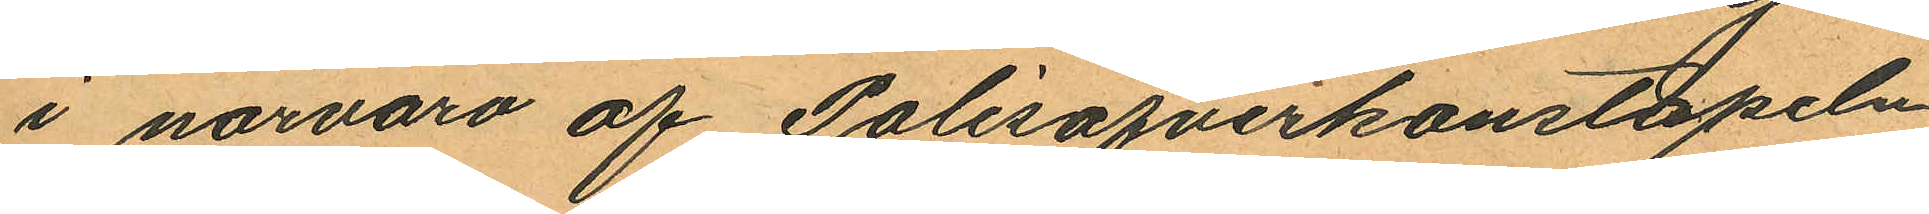i närvaro af Polisöfverkonstapeln
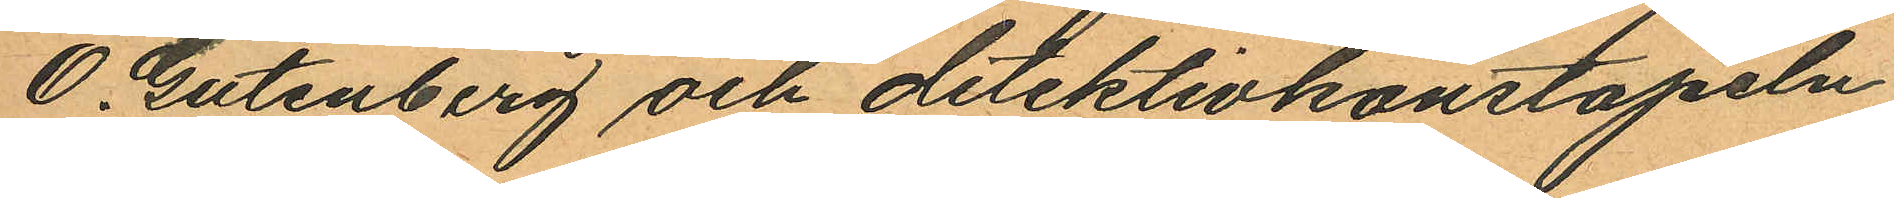O. Gutenberg och detektivkonstapeln
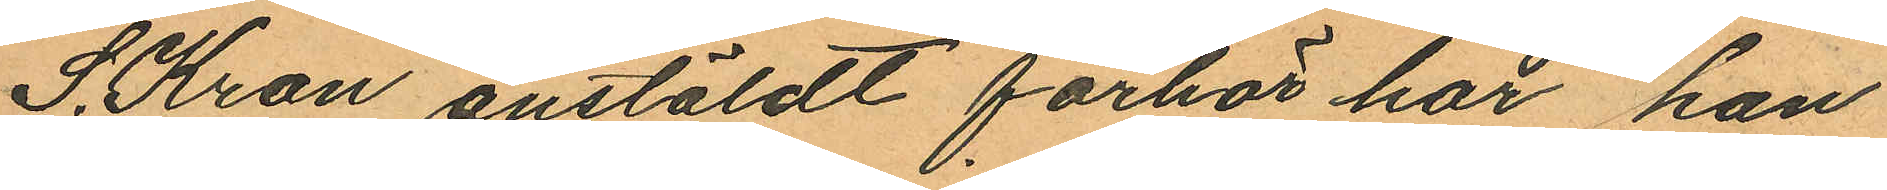S. Kron anstäldt förhör har han
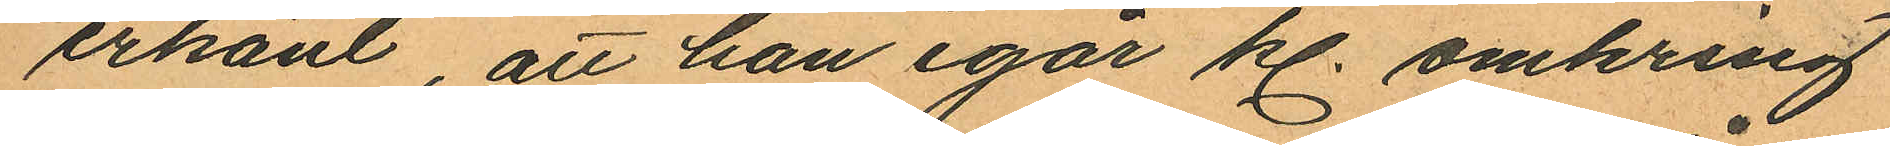erkänt, att han igår kl. omkring
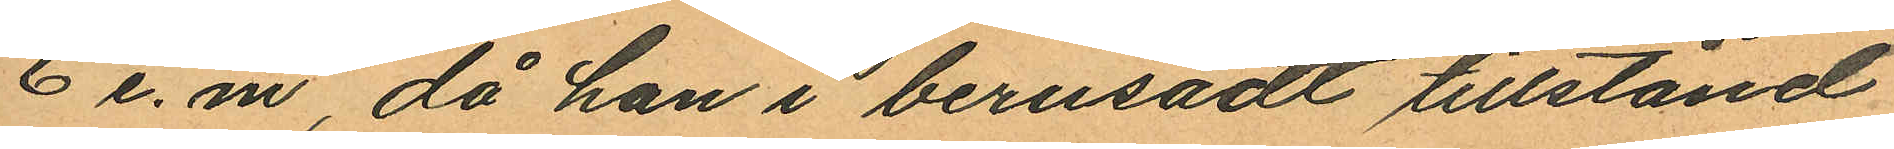6 e.m, då han i berusadt tillstånd
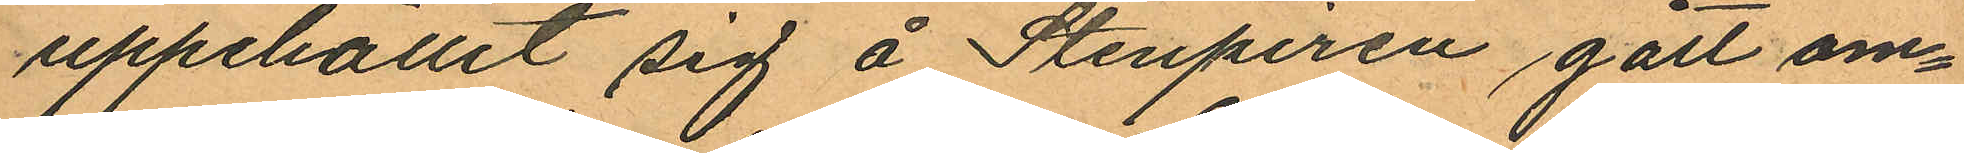uppehållit sig å Stenpiren gått om¬
